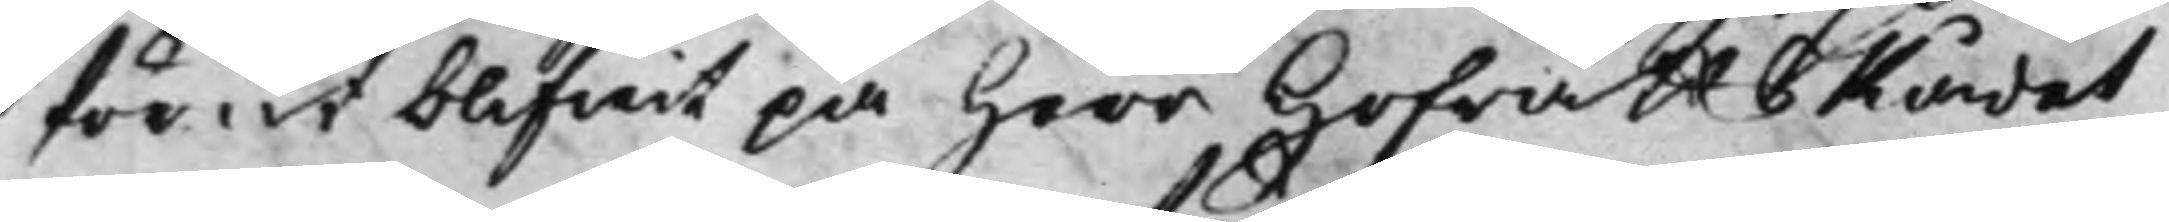förut blifwit på Herr HofrättsRådet
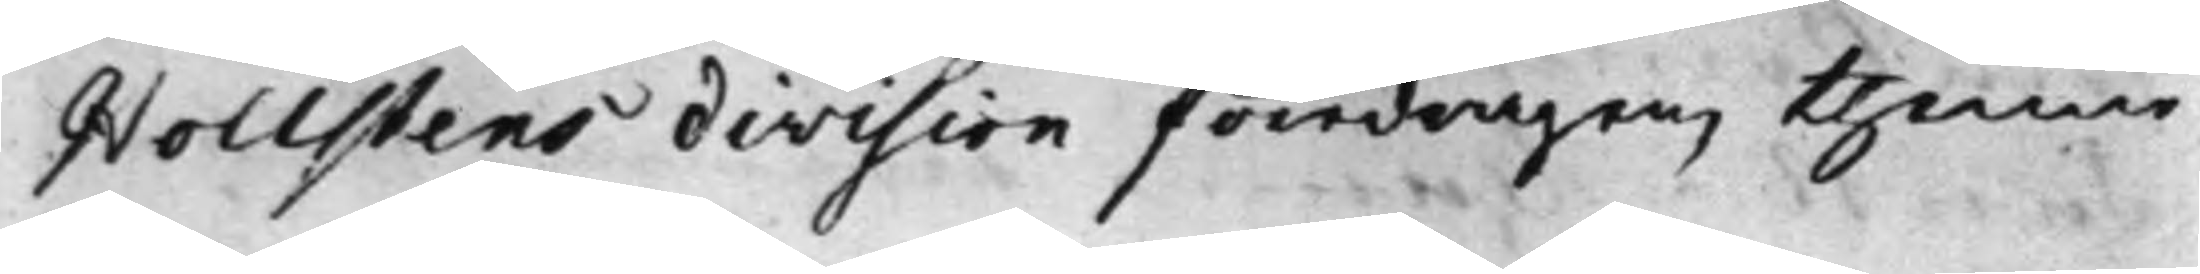Hollstens division föredragen, thenne
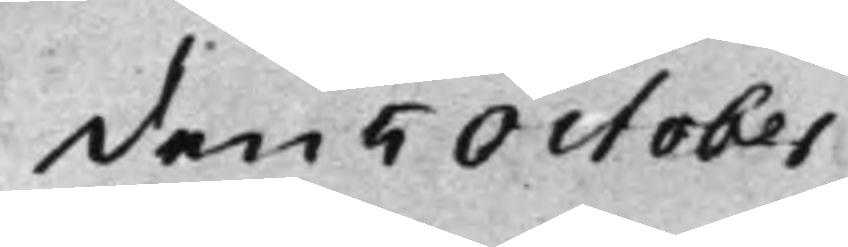den 5 October
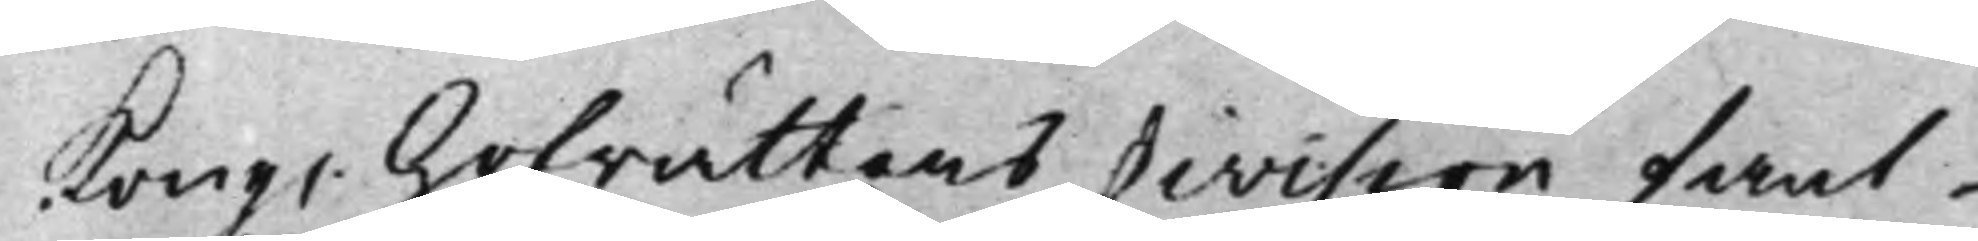Kong. Hofrättens division fant
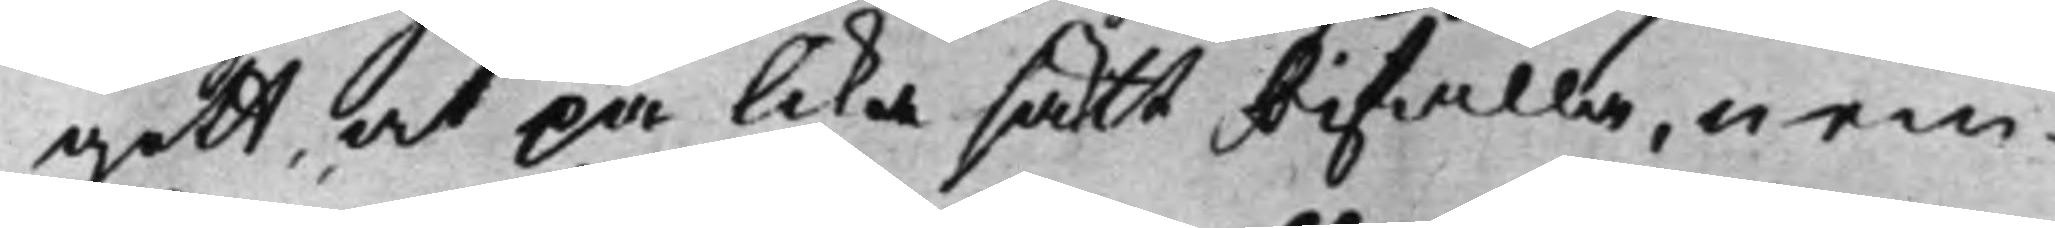gott, at på lika sätt bifalla, nem¬
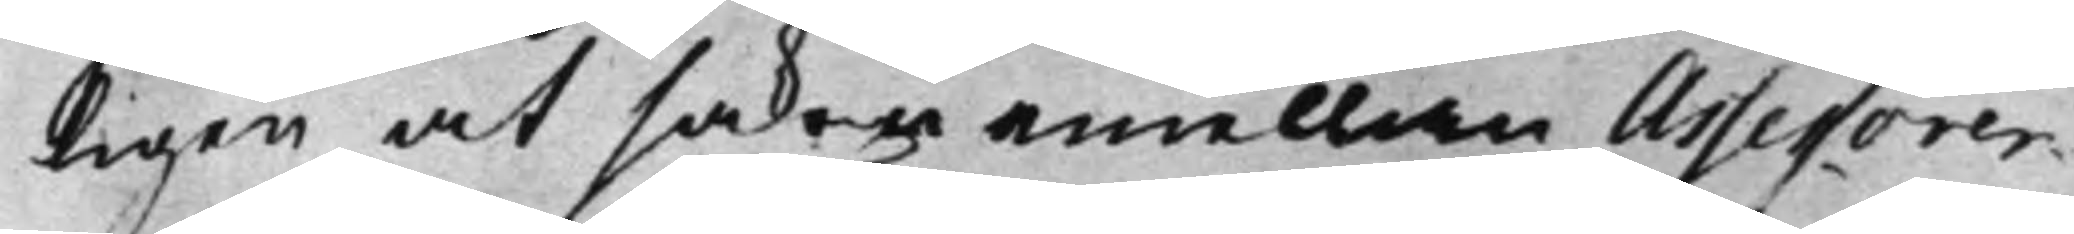ligen at saken emellan Assessorer¬
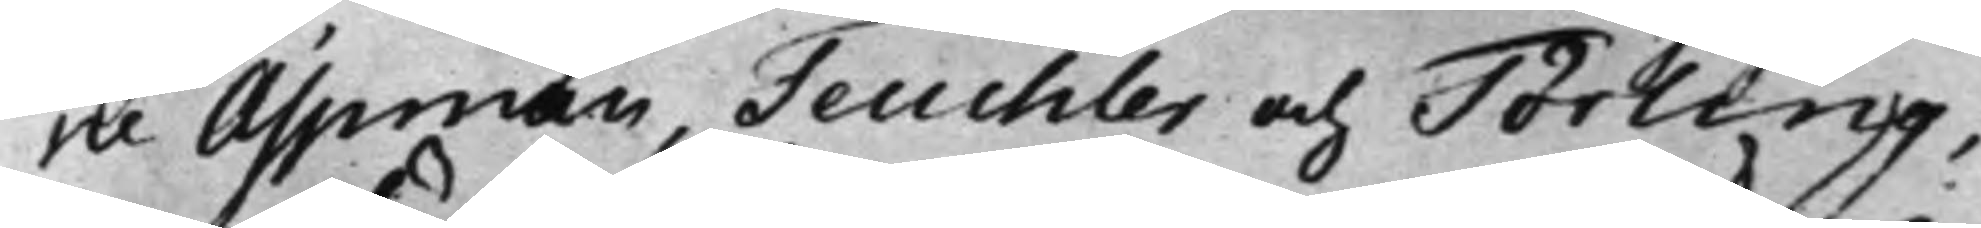ne Aspman, Teuchler och Törling,
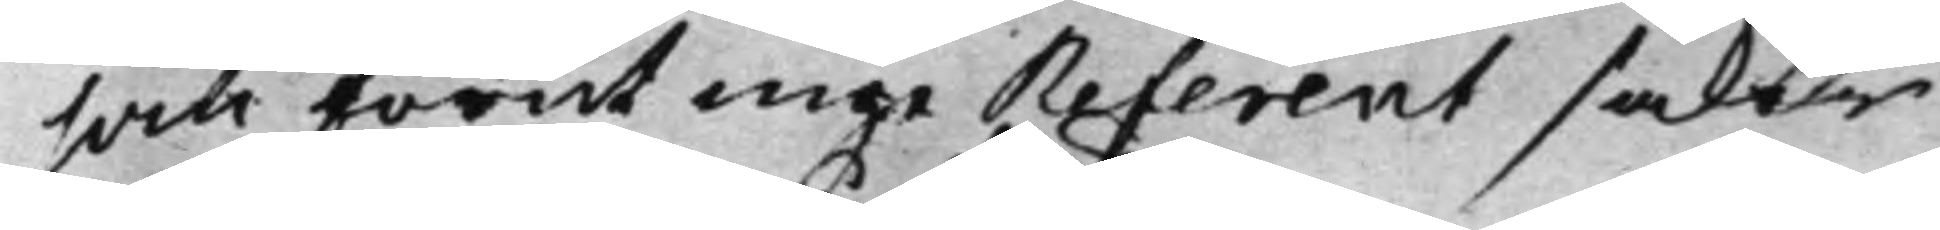som förut inge Referent saker
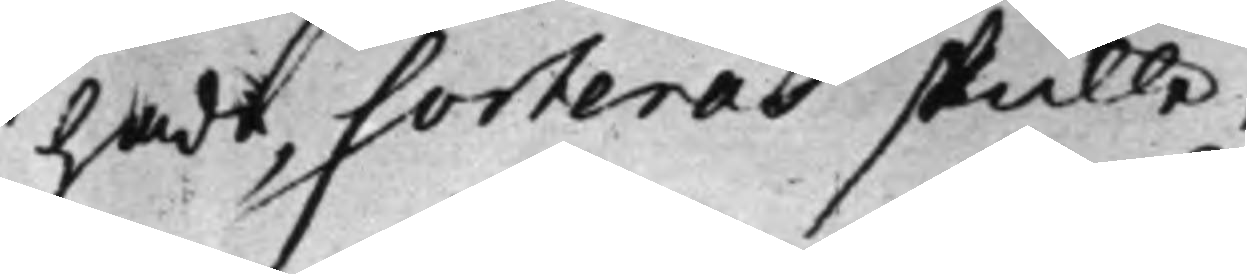hade, Sorteras skulle.
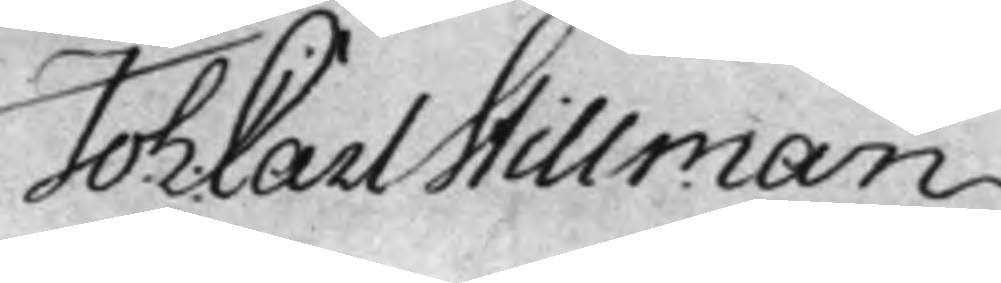Joh: Carl Stillman
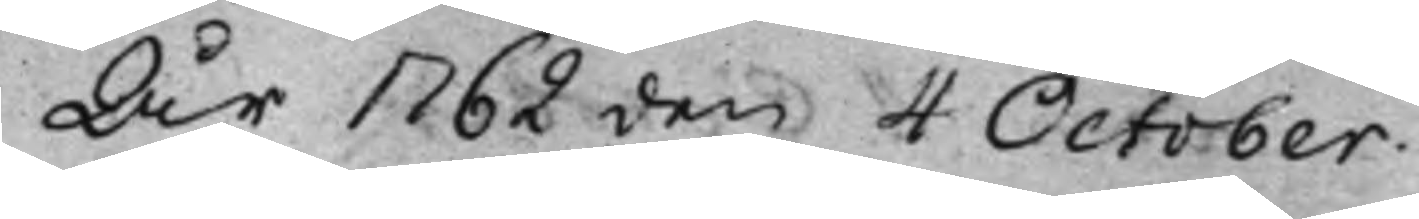År 1762 den 4 October.
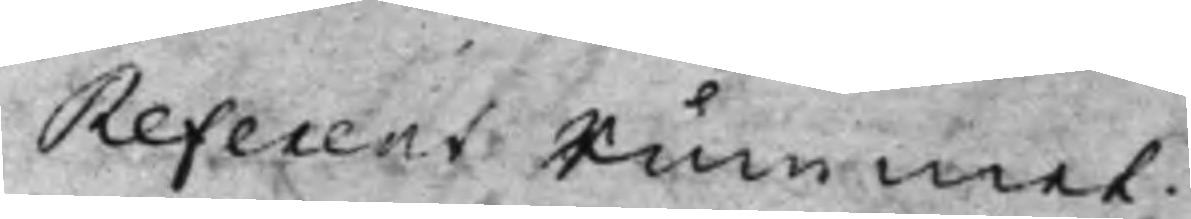Referent Rummet.
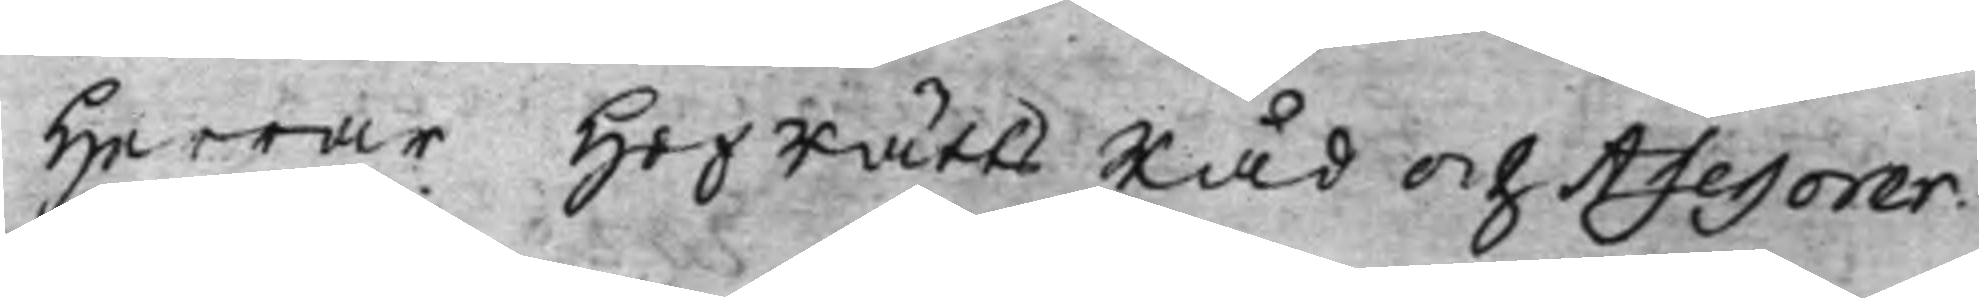Herrar HofRättsRåd och Assessorer.
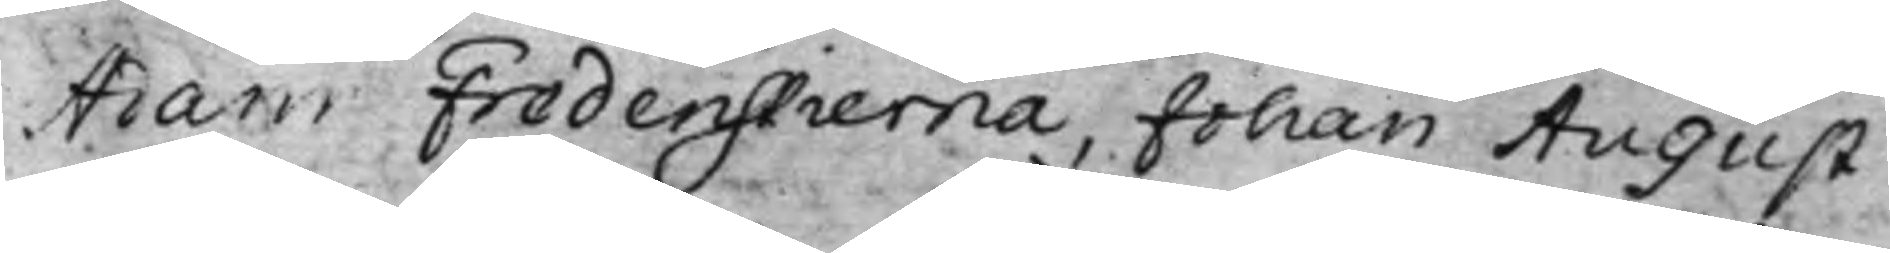Adam Fredenstierna, Johan August
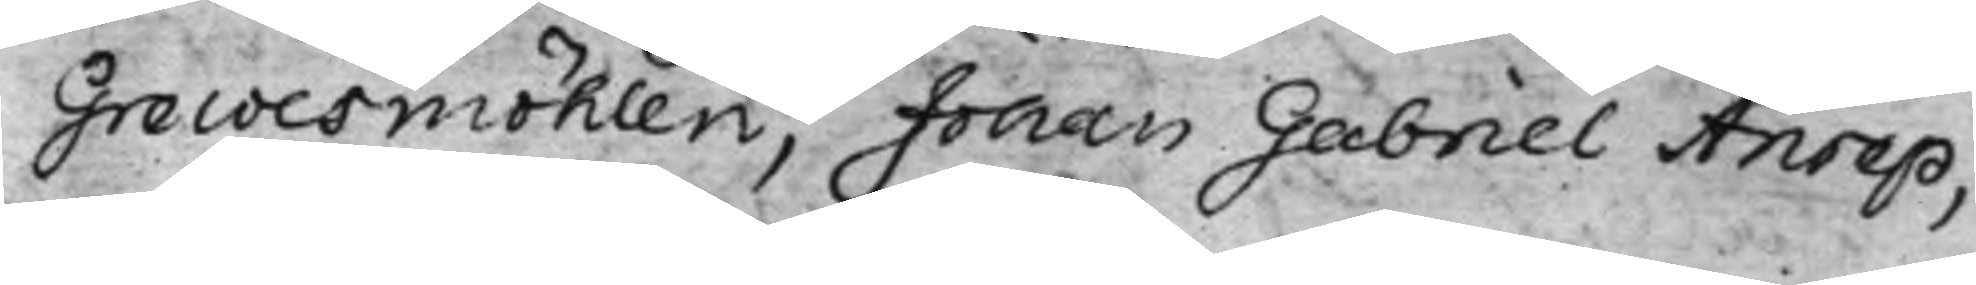Grewesmöhlen, Johan Gabriel Anrep,
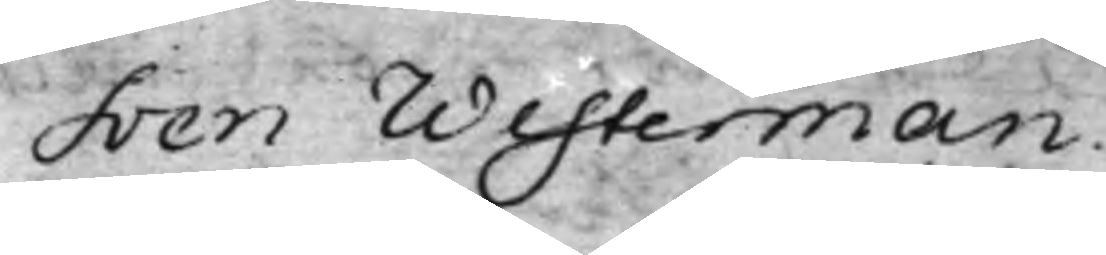Sven Westerman.
